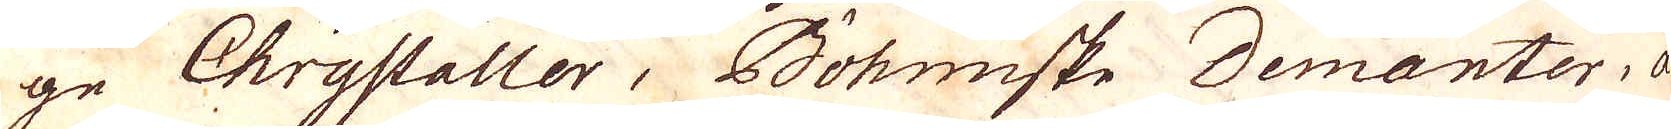ge Chrystaller, Böhiske Demanter, a-
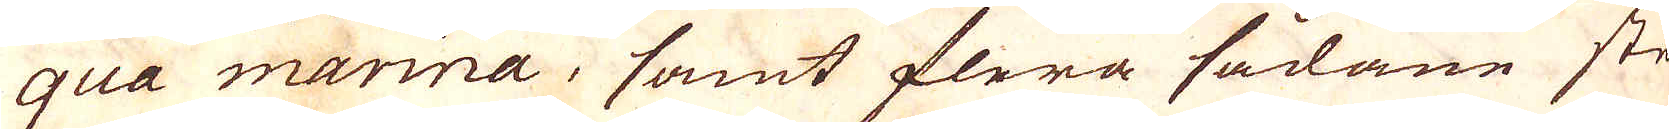qua marina, samt flera sådane ste-
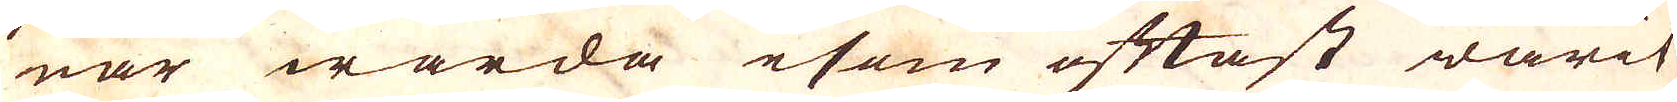nar warda esom oftast warit
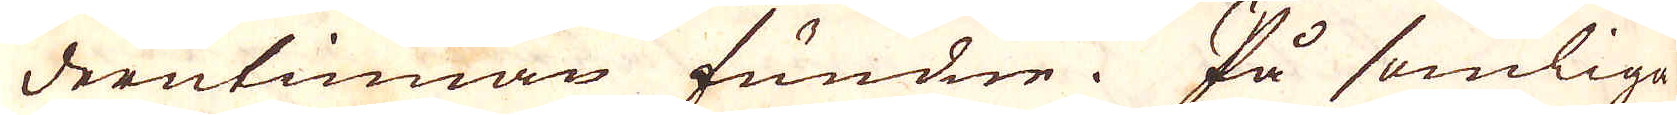derutinnan fundne. På somliga
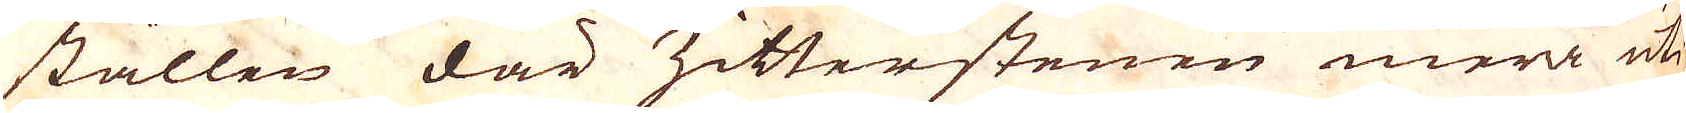ställen där Zitterstenen mera uti
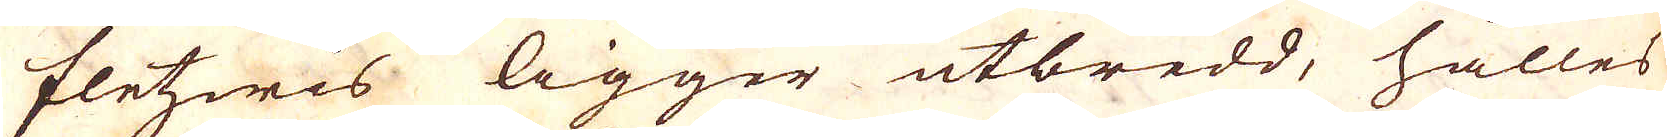fletzwis ligger utbredd, hålles
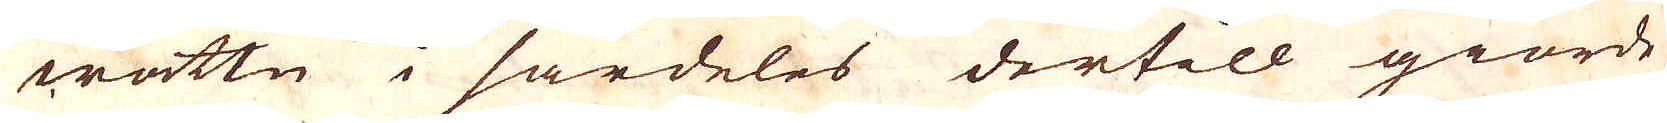wattn i särdeles dertill giorde
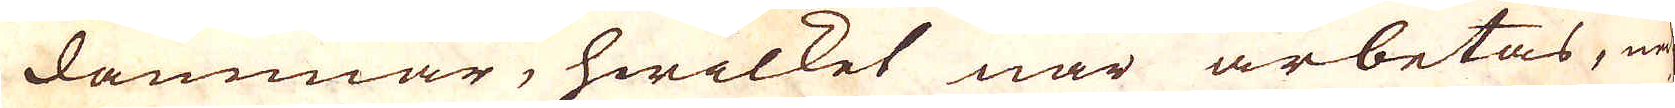dammar, hwilket när arbetas, ned-
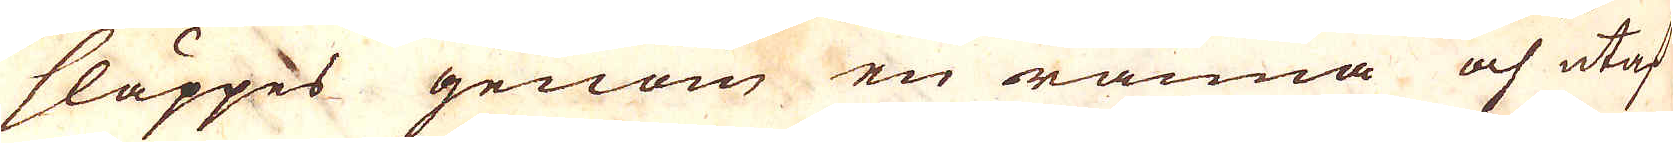släppes genom en ränna och utaf
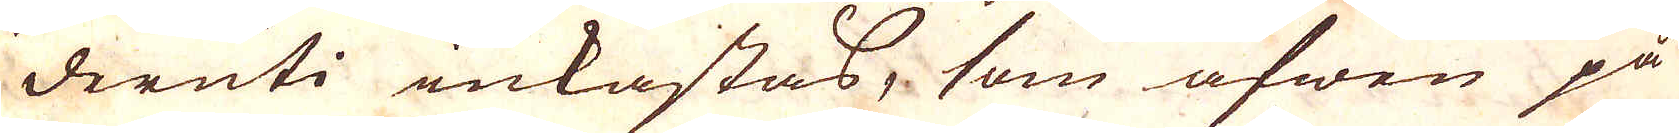deruti inkastas, som äfwen på
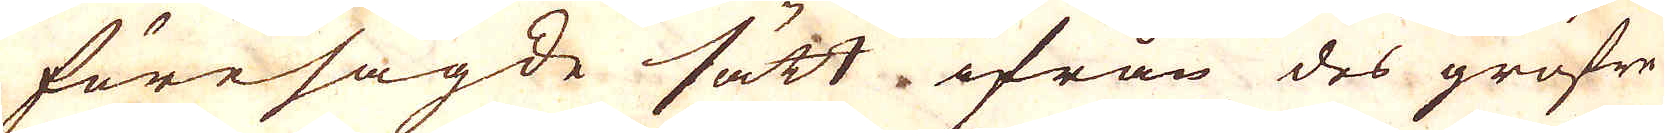föresagde sätt ifrån des gröfre
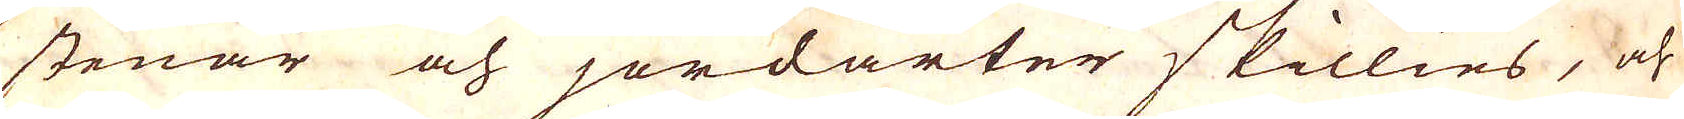stenar och jordarter skillies, och
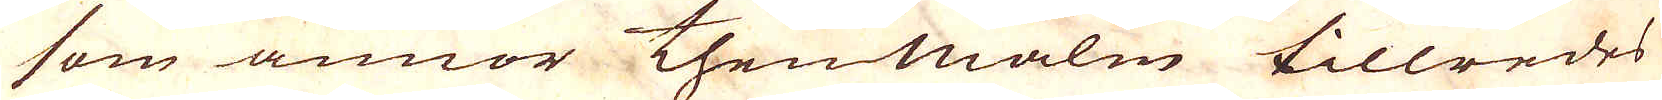som annor thenmalm tillredes
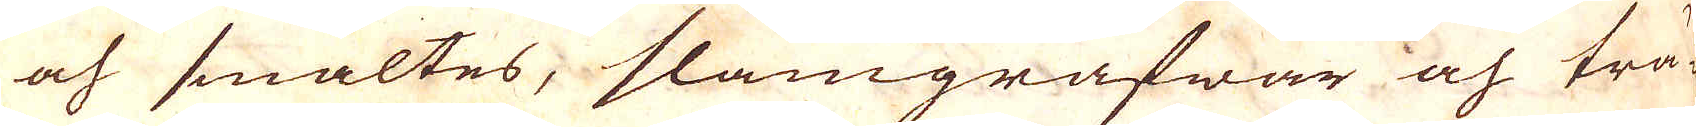och smältes, slamgrafwar och trä-
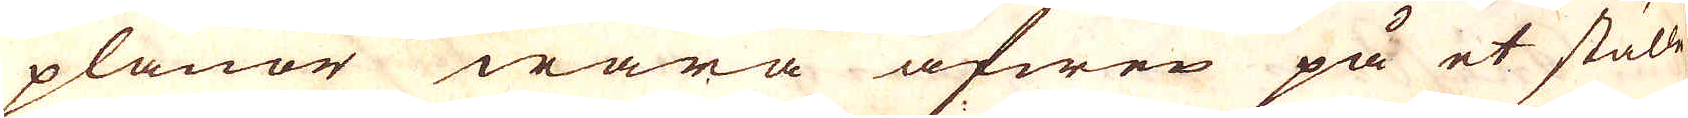planor wara äfwen på et ställe
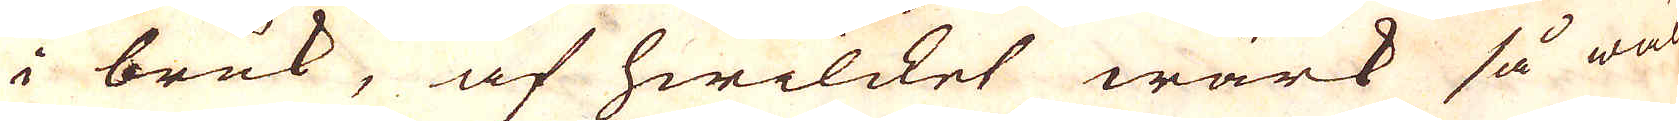i bruk, af hwilcket wärk så wäl
